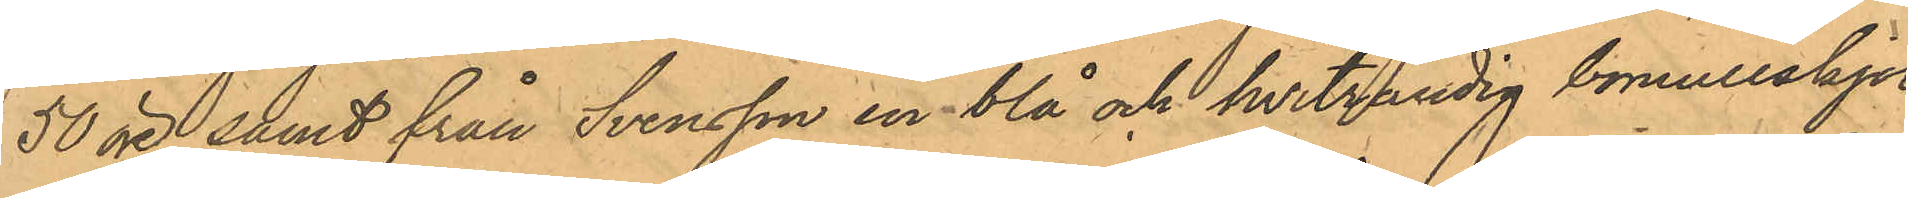50 öre samt från Svensson en blå och hvitrandig bomullskjol,
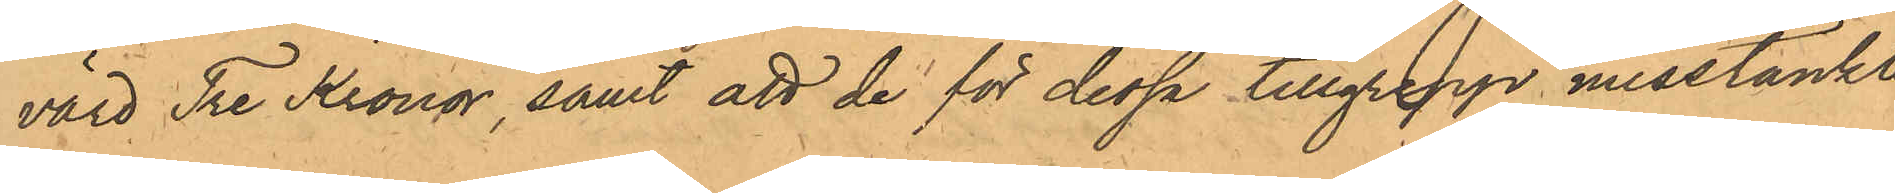värd Tre Kronor, samt att de för dessa tillgrepp misstänkte
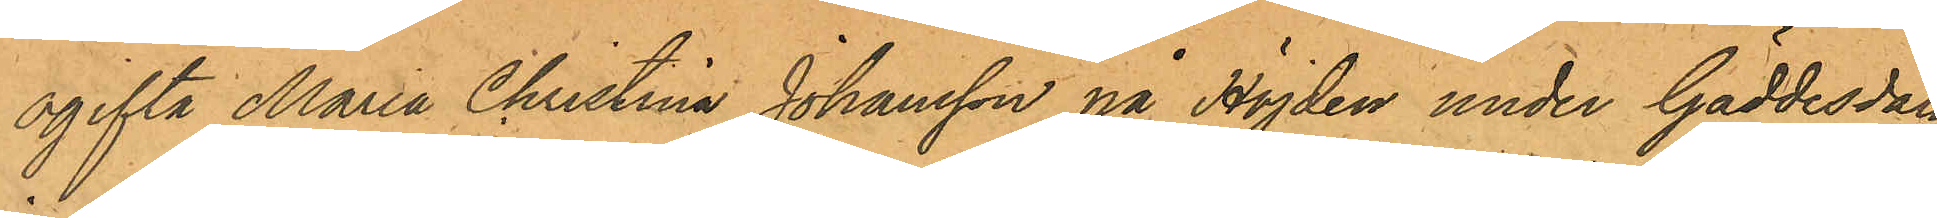ogifta Maria Christina Johansson på Höjden under Gäddesdala
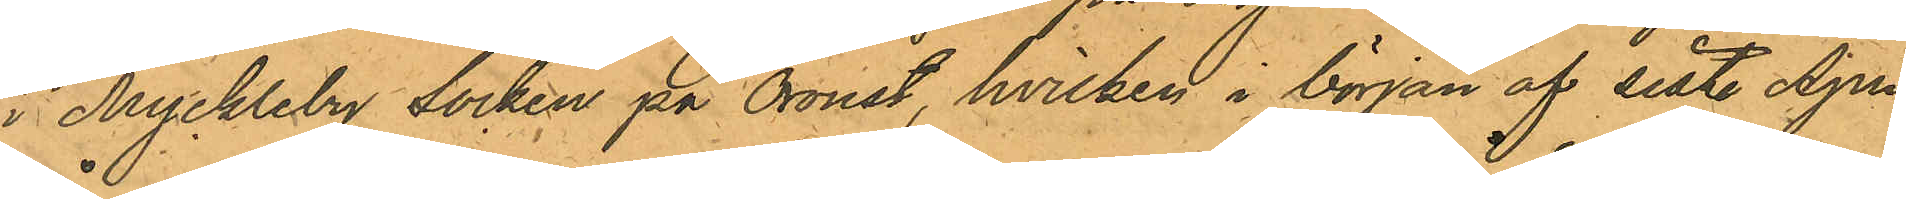i Myckleby Socken på Oroust, hvilken i början af sist. April
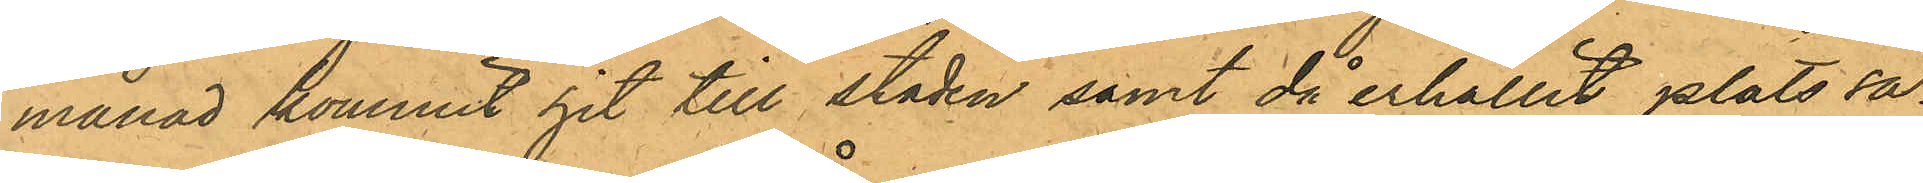månad kommit hit till staden samt då erhållit plats så¬
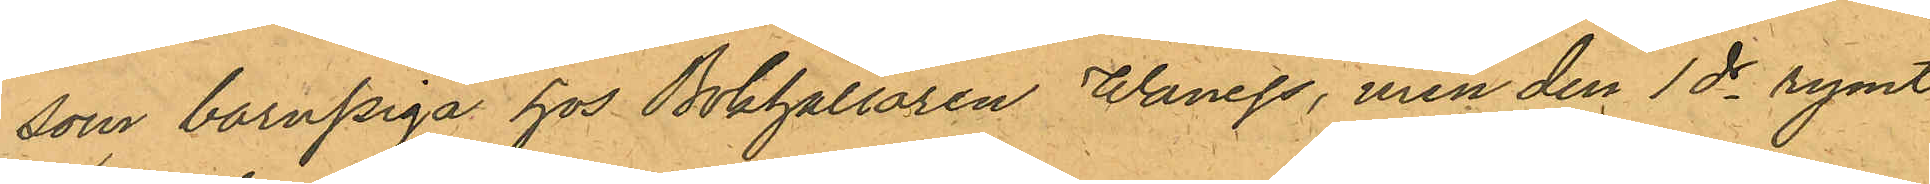som barnpiga hos Bokhållaren Wanegs, men den 1ds rymt
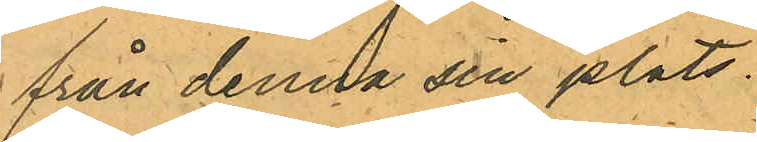från denna sin plats.
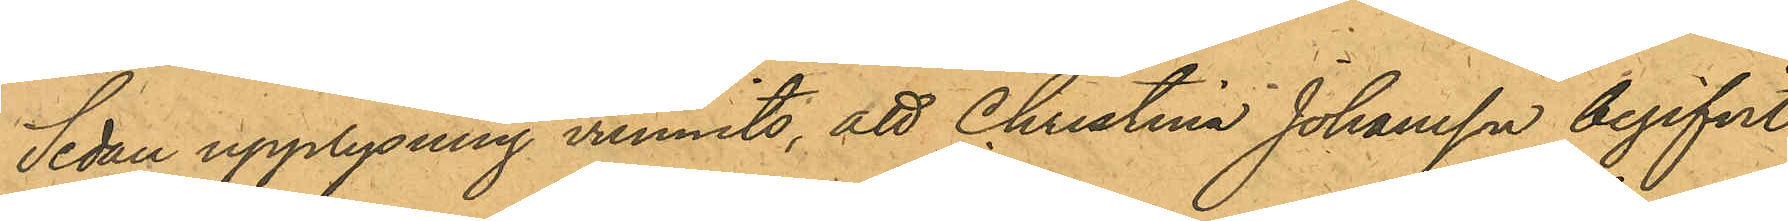Sedan upplysning vunnits, att Christina Johansson begifvit
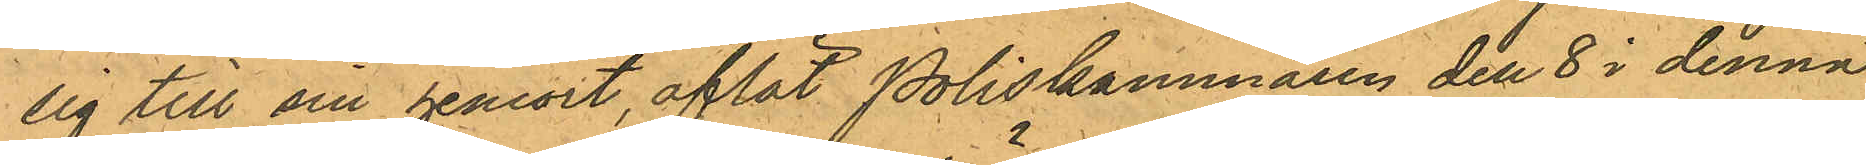sig till sin hemort, aflät Poliskammaren den 8 i denna
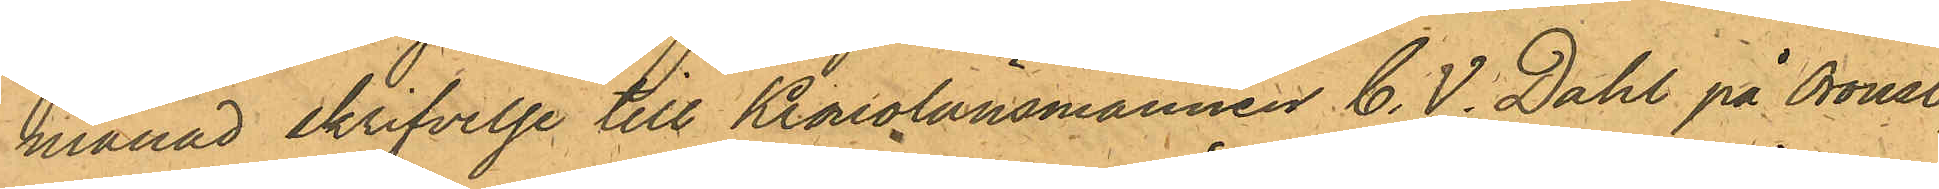månad skrifvelse till Kronolänsmannen C. V. Dahl på Oroust,
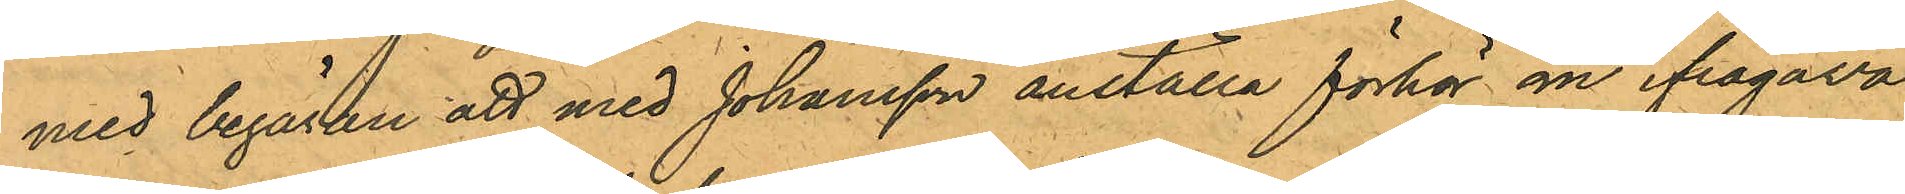med begäran att med Johansson anställa förhör om ifrågava¬
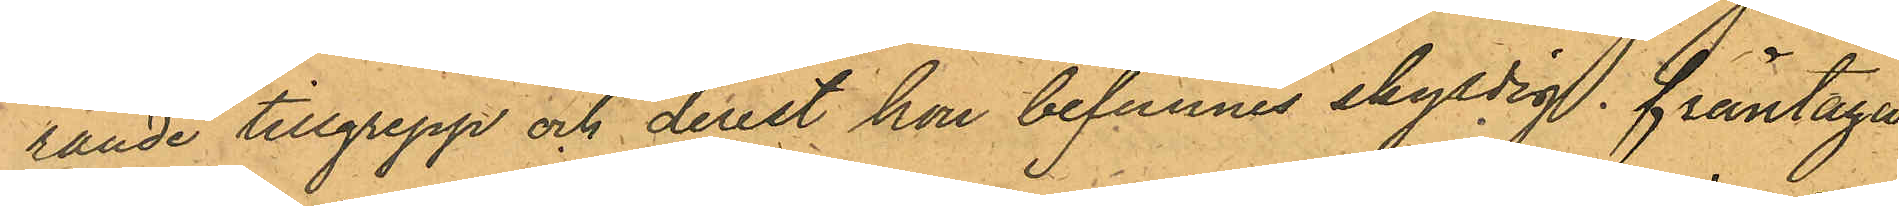rande tillgrepp och derest hon befunnes skyldig, fråntaga
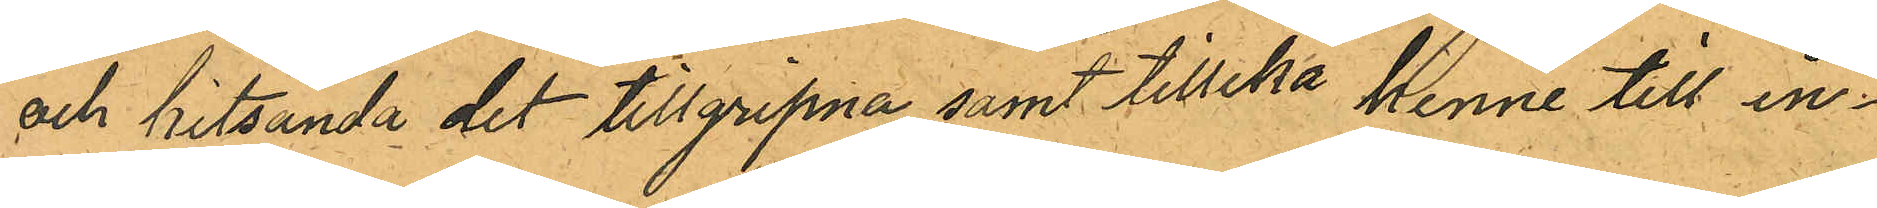och hitsända det tillgripna samt tillika henne till in¬
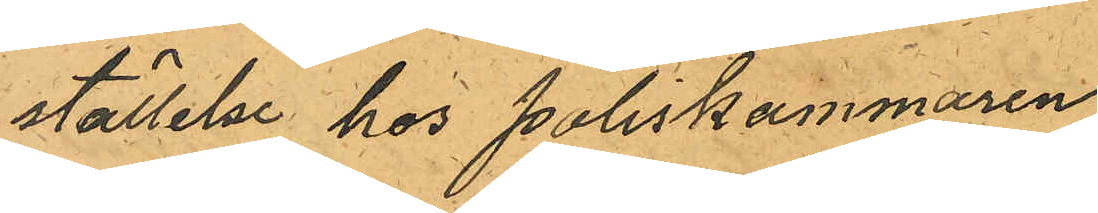ställelse hos Poliskammaren
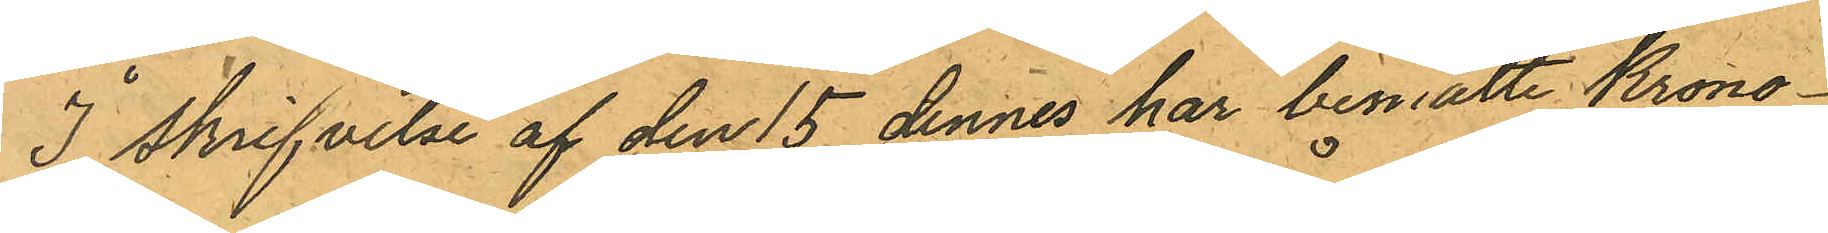I skrifvelse af den 15 dennes har bemälte Krono¬
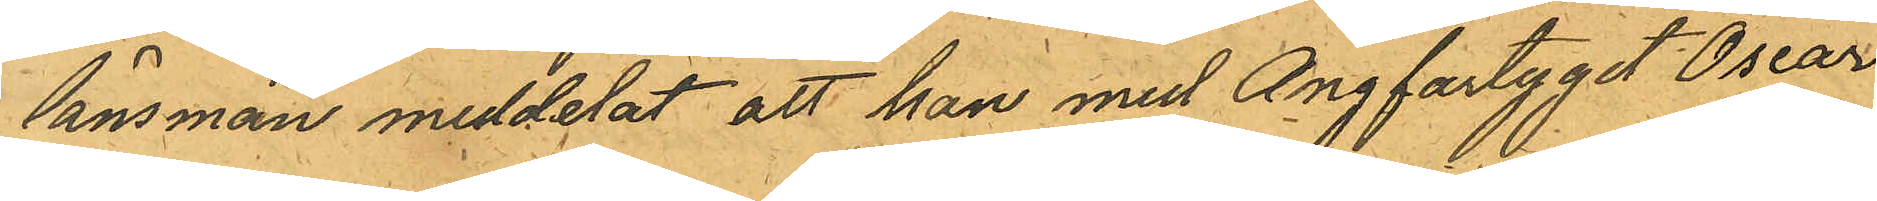länsman meddelat att han med Ångfartyget Oscar
